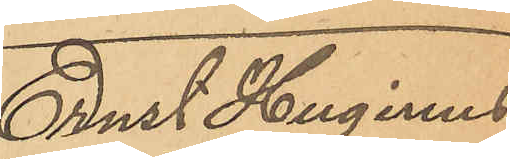Ernst Huginus
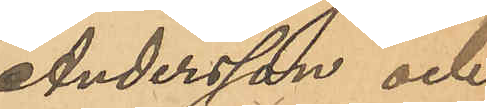Andersson och
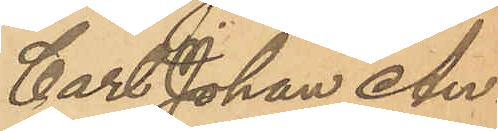Carl Johan An¬
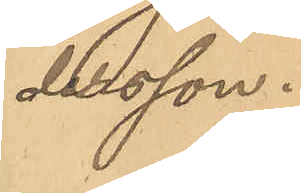dersson.
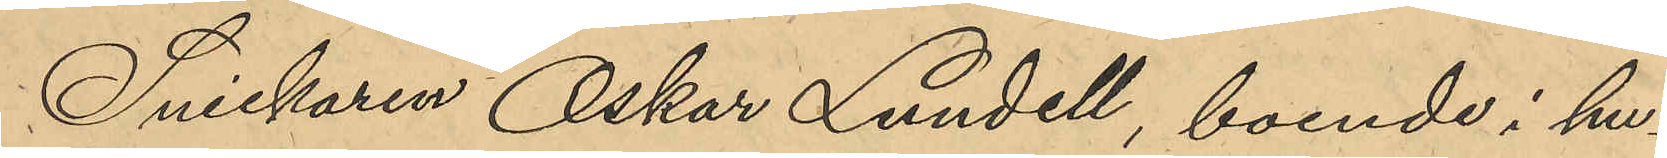Snickaren Oskar Lundell, boende i hu¬
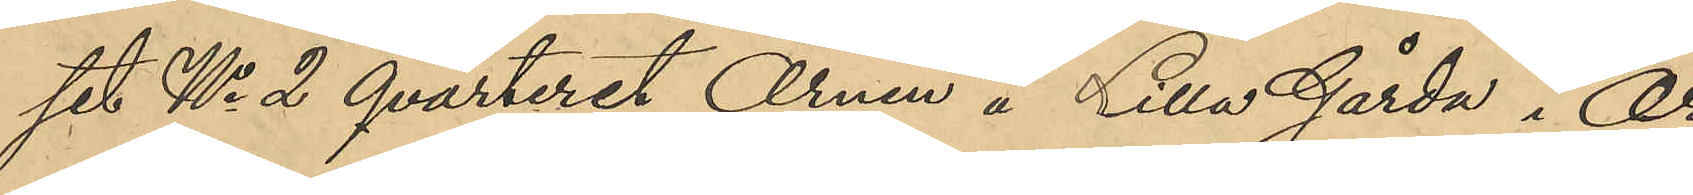set No 2 qvarteret Örnen å Lilla Gårda i Or¬
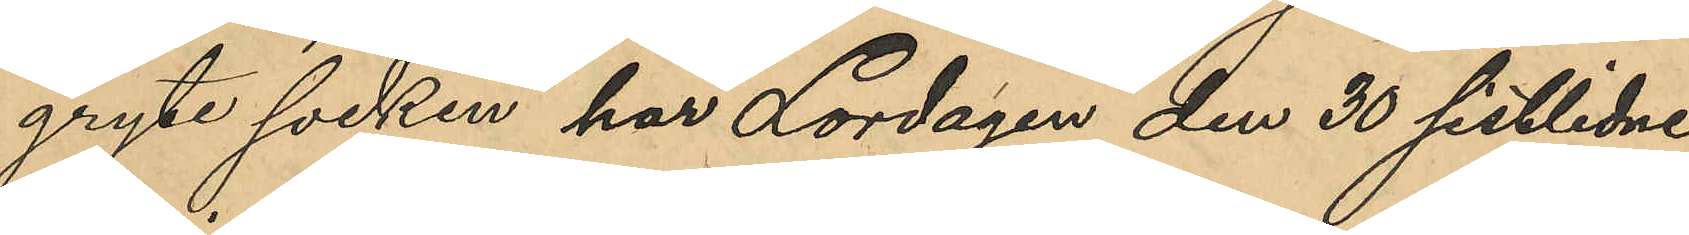gryte socken har Lordagen den 30 sistlidne
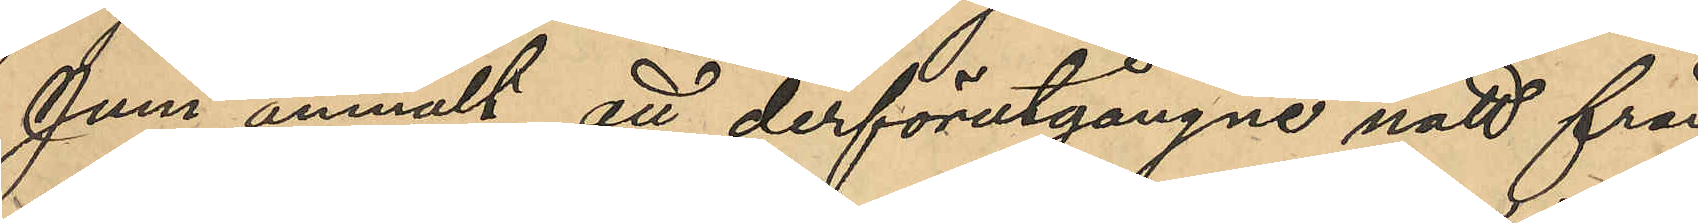Juni anmält att derförutgångne natt från
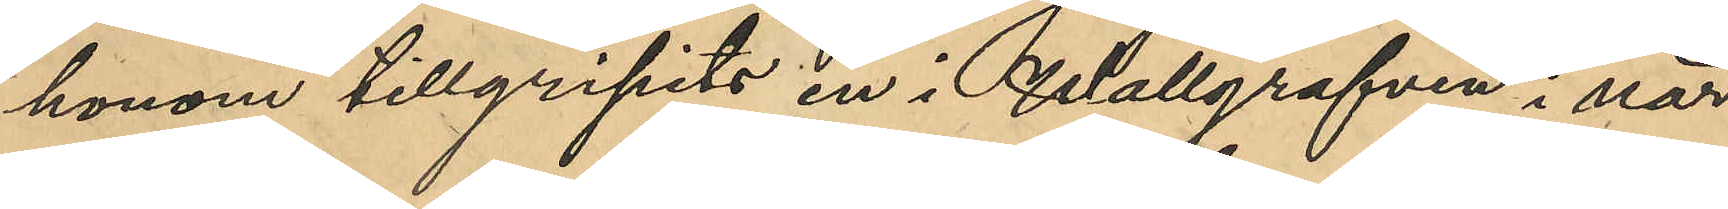honom tillgripits en i Wallgrafven i när¬
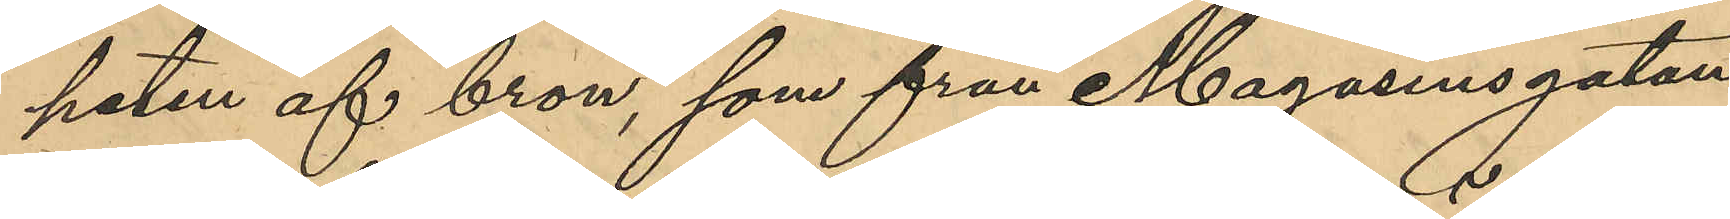heten af bron, som från Magasinsgatan
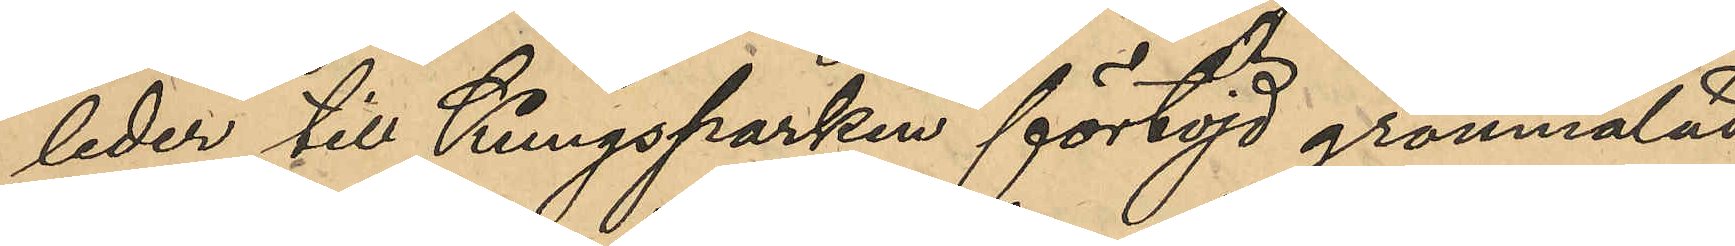leder till Kungsparken förtöjd grönmålad
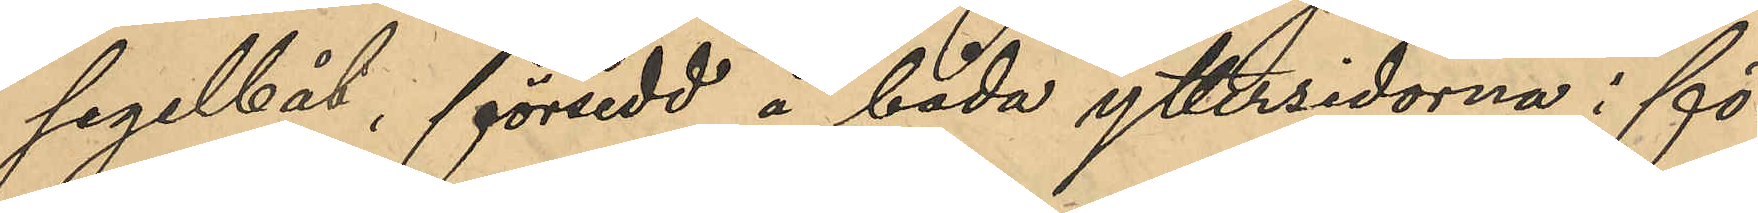segelbåt, försedd å båda yttersidorna i fö¬
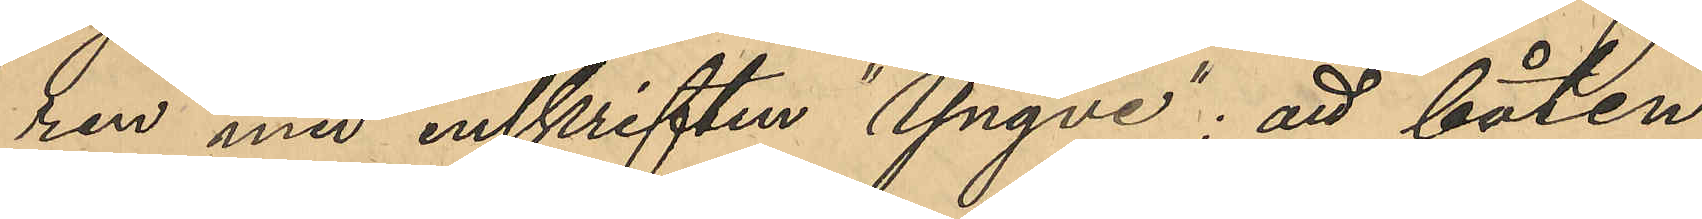ren med inskriften "Yngve"; att båten
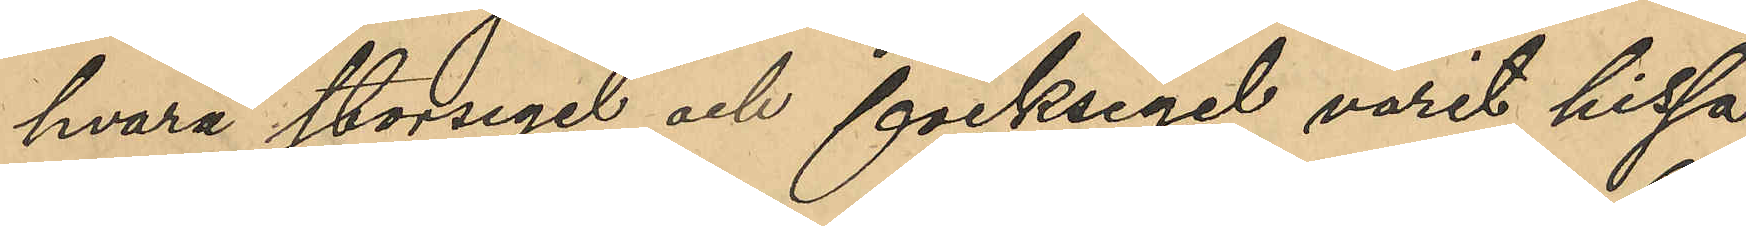hvarå storsegel och focksegel varit hissa¬
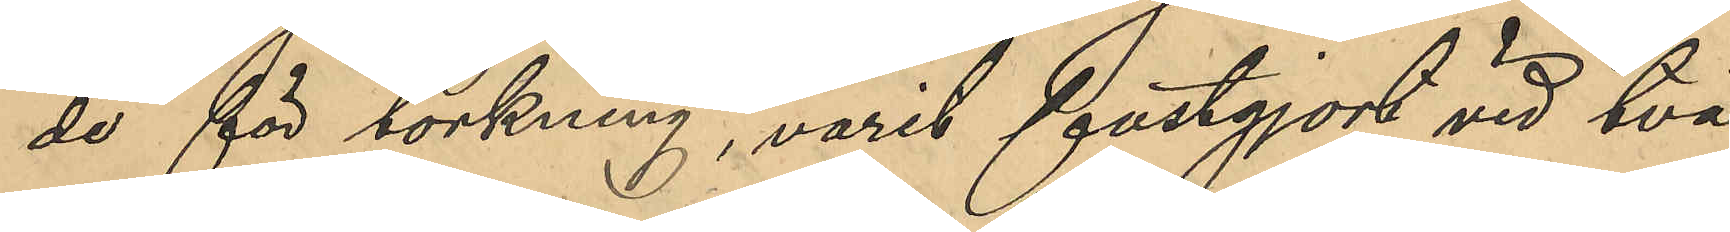de för torkning, varit fastgjord vid två
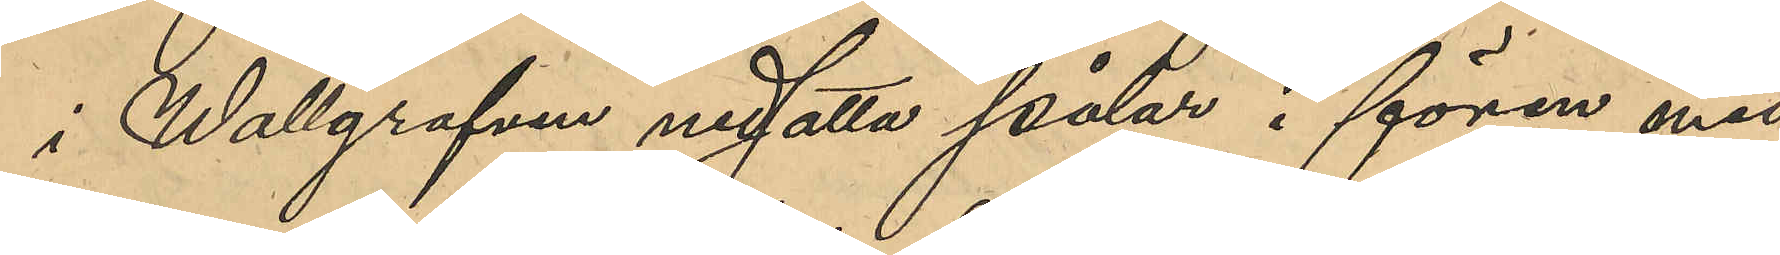i Wallgrafven nedsatta pålar i fören med 
